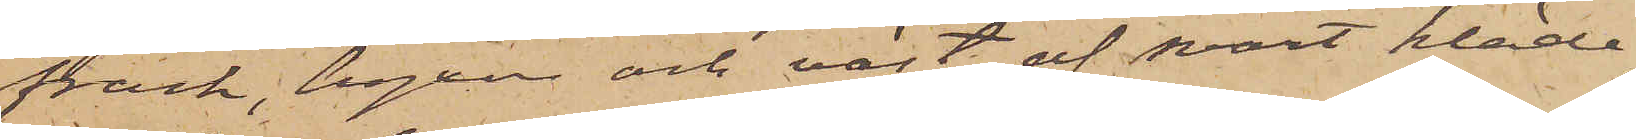frack, byxor och väst af svart kläde;
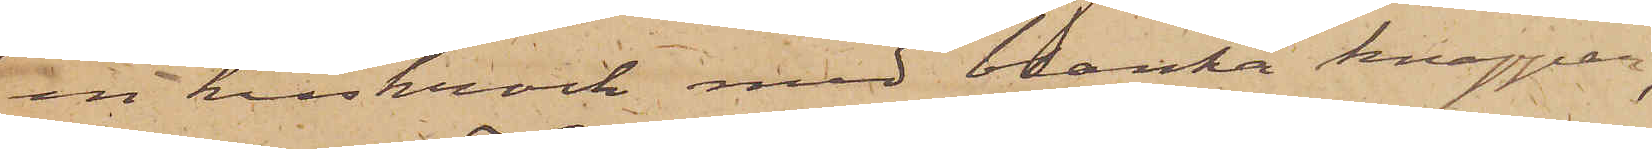en kuskrock med blanka knappar,
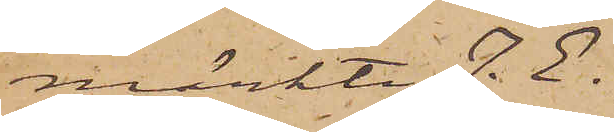märkte J. E.
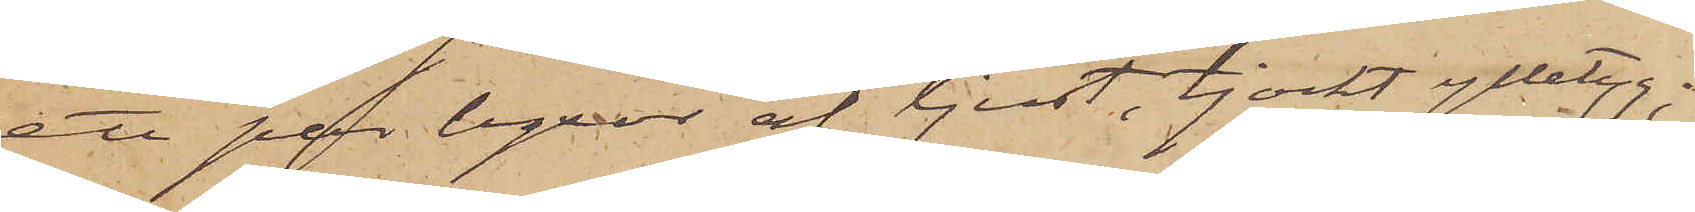ett par byxor af ljust, tjockt ylletyg;
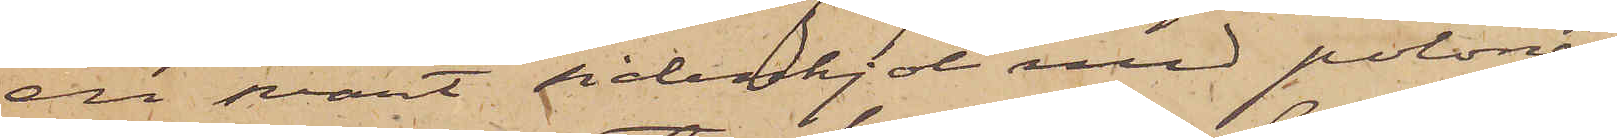en svart sidenkjol med polonäs
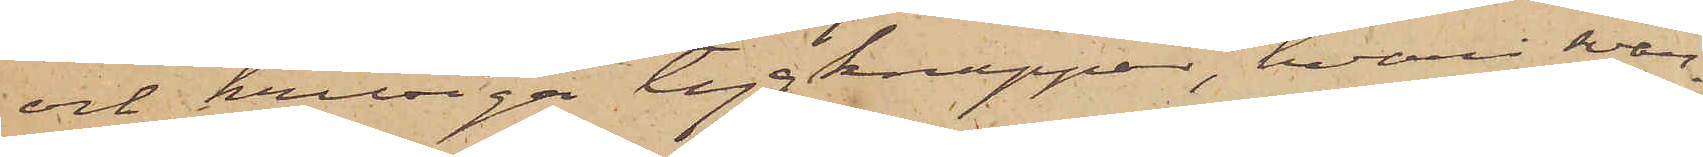och krusiga tygknappar, hvari svar¬
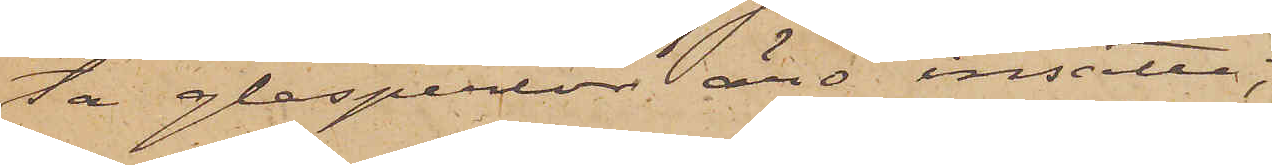ta glasperlor äro insatte;
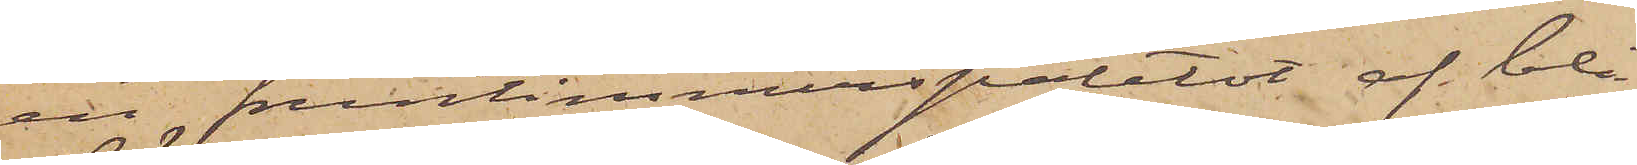en fruntimmerspaletot af blå
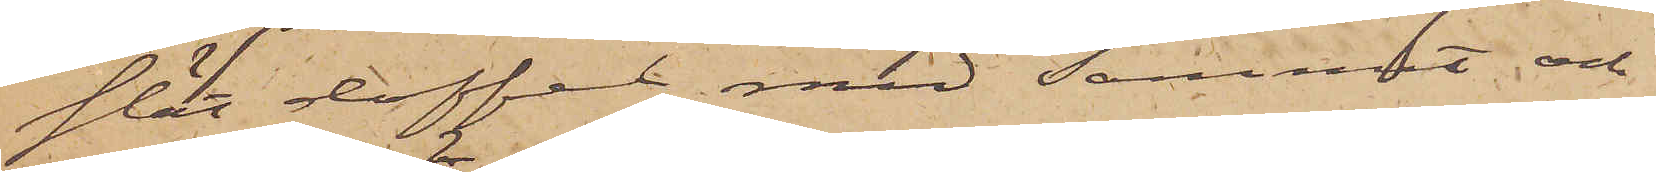slät doffel med sammet och
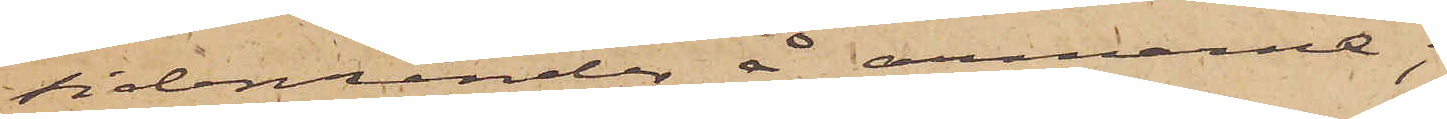sidenränder å armarna;
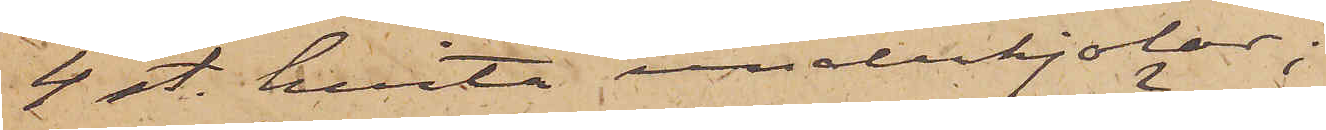4 st. hvita underkjolar;
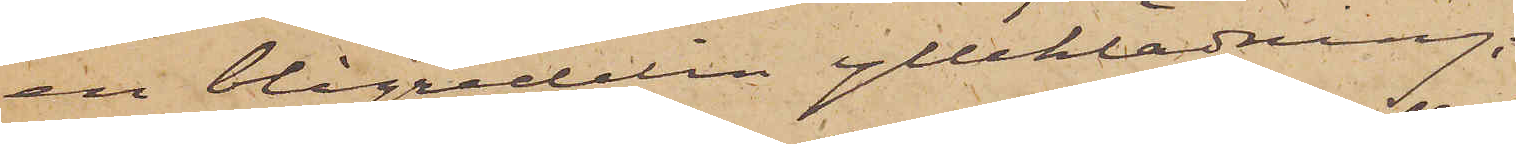en blågredelin ylleklädning;
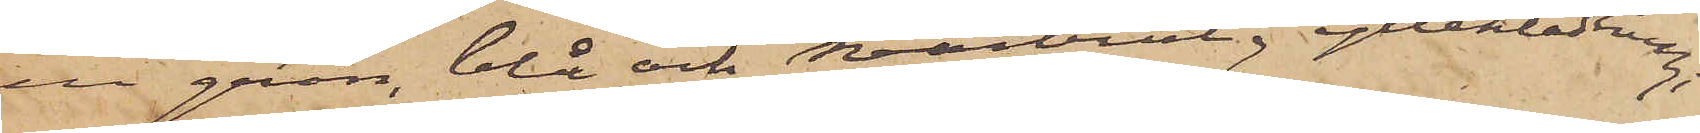en grön, blå och svartrutig ylleklädning;
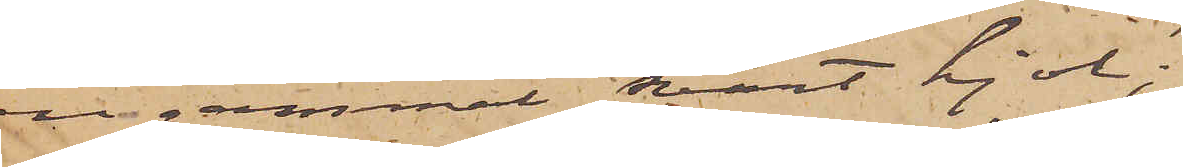en gammal svart kjol;
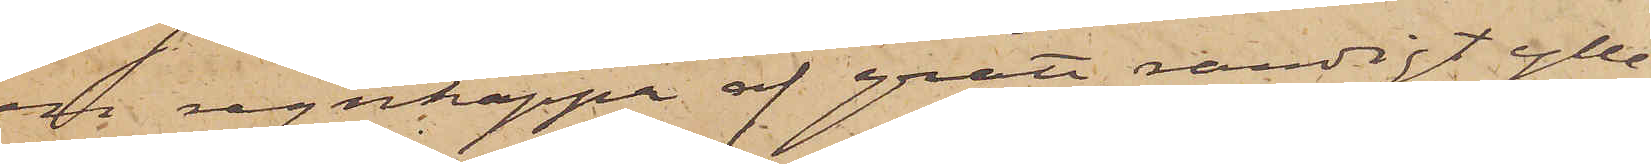en regnkappa af grått, randigt ylle¬
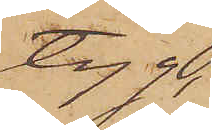tyg;
